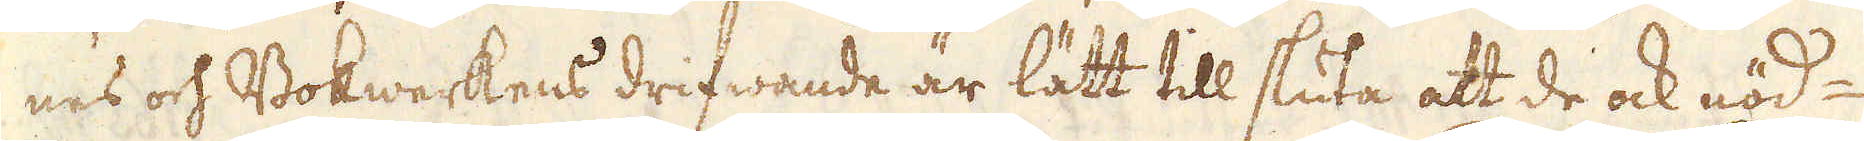nes och Bokwerkens drifwande är lätt till sluta att de ock nöd-
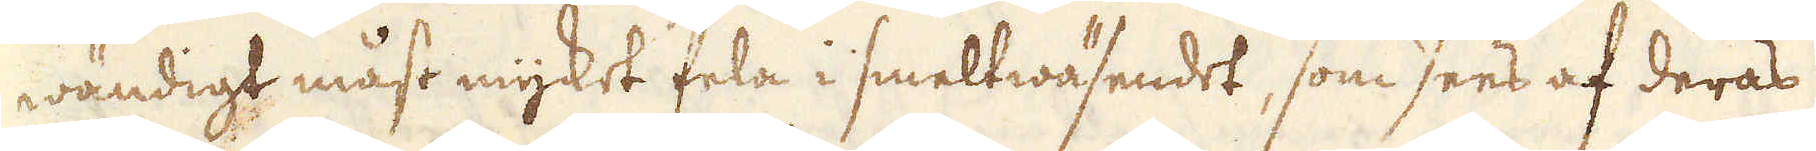wändigt måst mycket fela i smeltwäsendet, som sees af deras
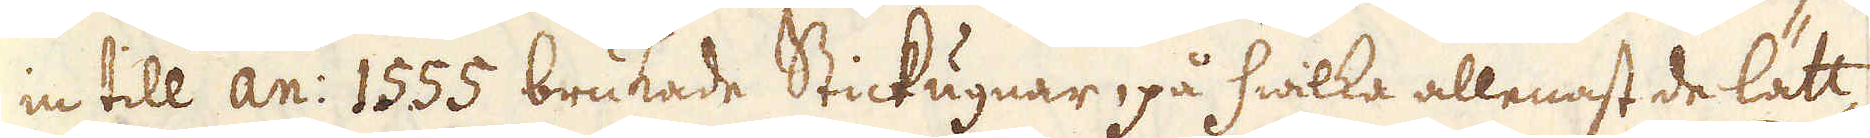in till an: 1555 brukade Stickugnar, på hwilka allenast de lätt-
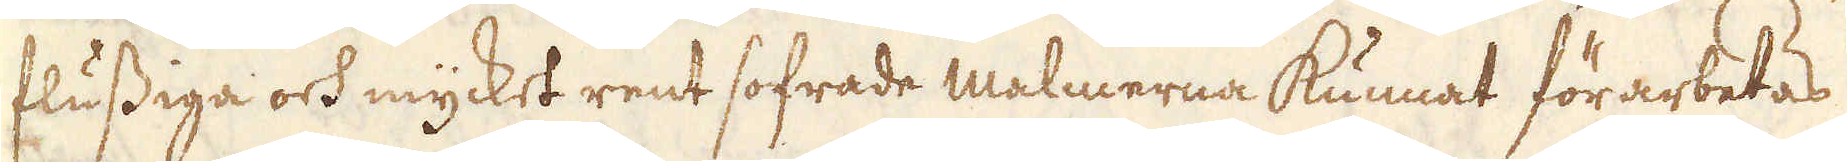flussiga och mycket rent sofrade malmerna kunnat förarbetas
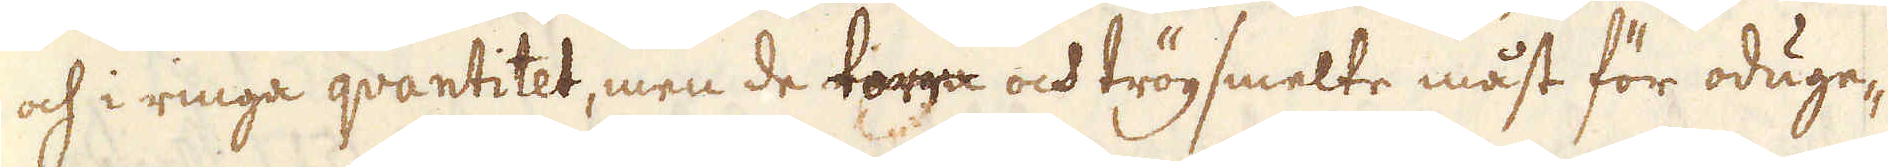och i ringa quantitet, men de torra och trögsmelte måst för oduge-
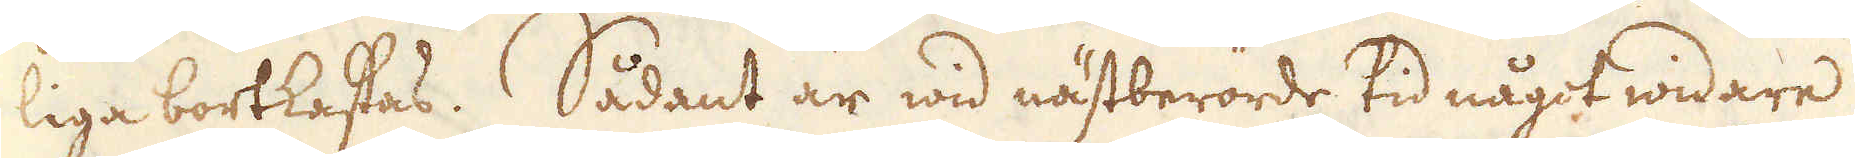liga bortkastas. Sådant är wid nästberörde tid något widare
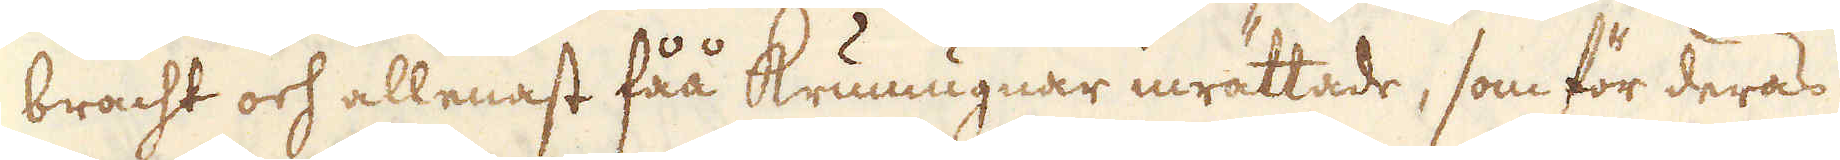bracht och allenast fåå Krumugnar inrättade, som för deras
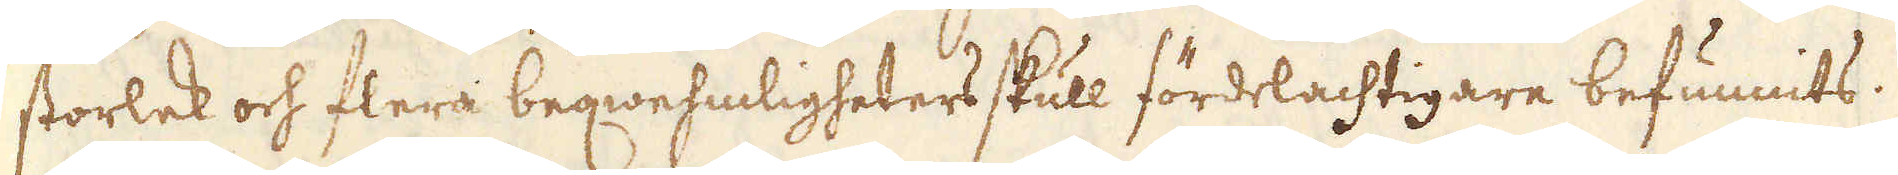storlek och flera beqwehmligheters skull fördelachtigare befunnits.
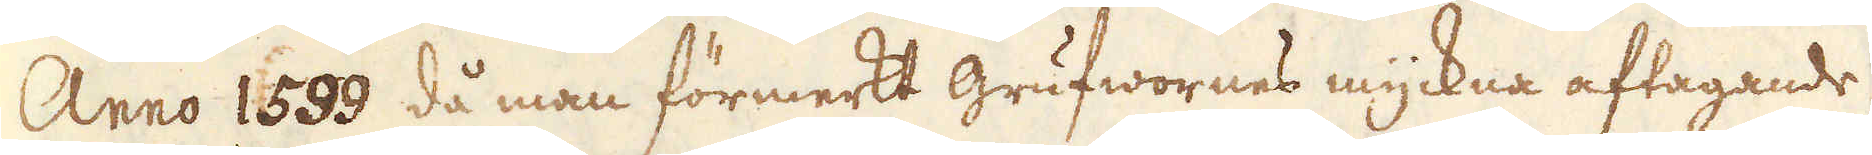Anno 1599 då man förmerkt grufwornes myckna aftagande
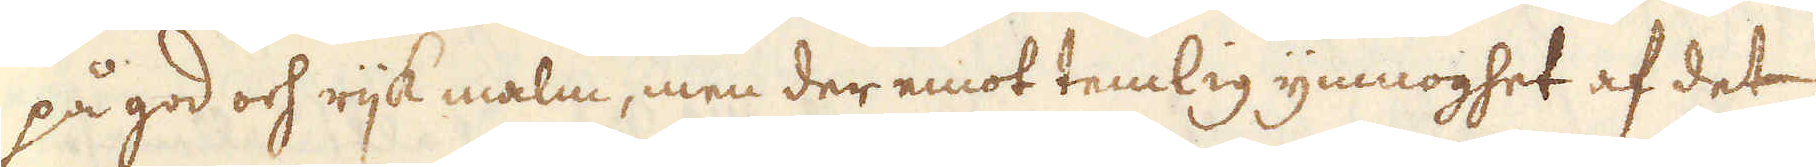på god och rijk malm, men der emot temlig ymnoghet af det
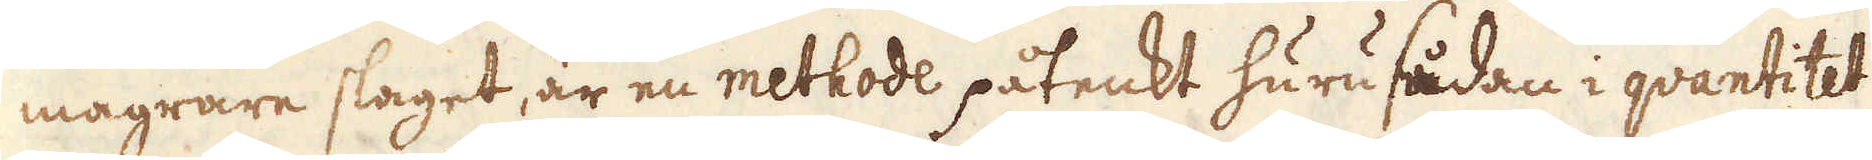magrare slaget, är en methode påtenkt huru sådan i quantitet
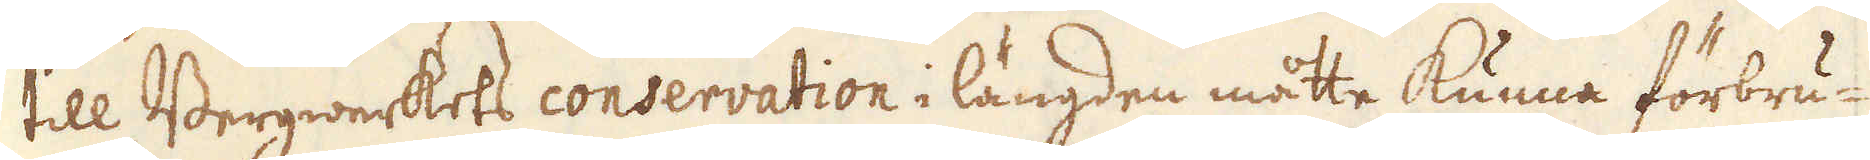till Bergwerkets conservation i längden måtte kunna förbru-
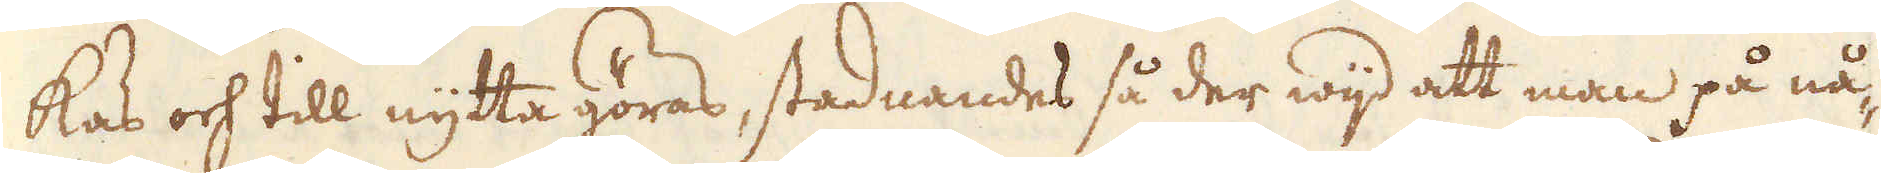kas och till nytta göras, stadnandes så der wijd att man på nå-
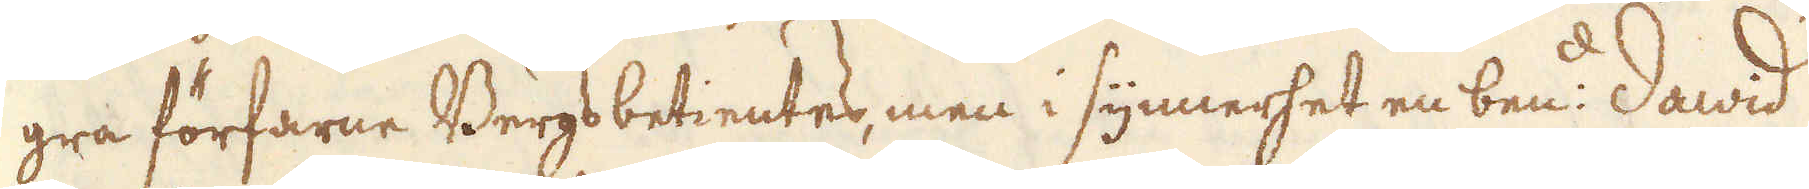gra förfarne Bergsbetientes, men i synnerhet en ben:d Dawid
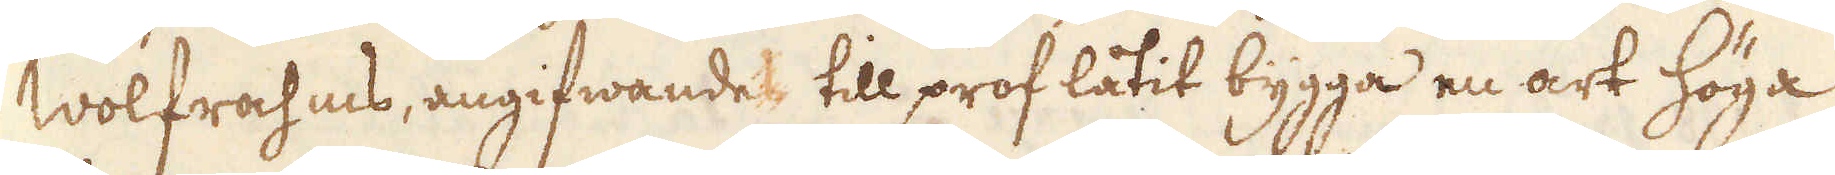Wolfrahms, angifwande till prof låtit bygga en art Höga
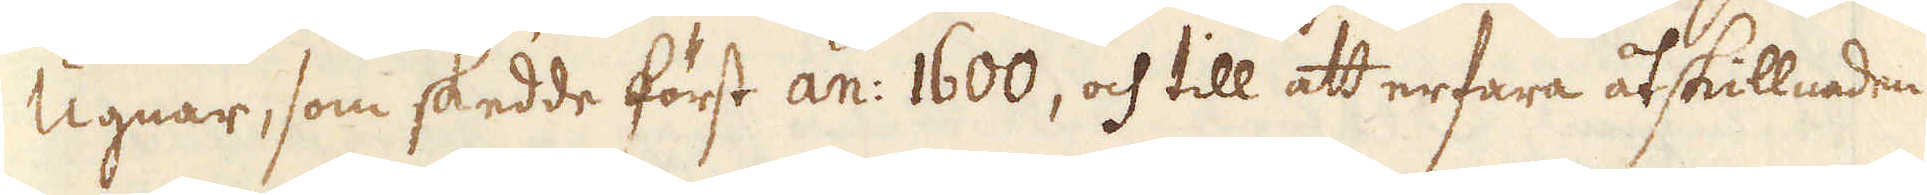Ugnar, som skedde först an: 1600, och till att erfara åtskillnaden
